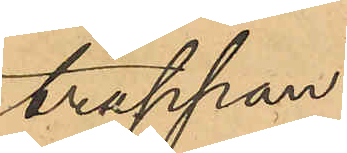trappan.
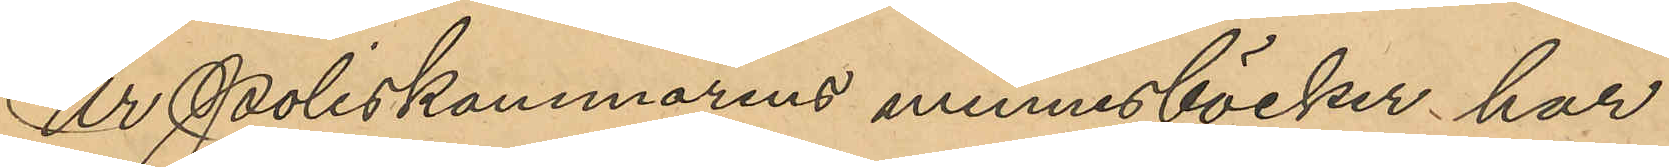Ur Poliskammarens minnesböcker har
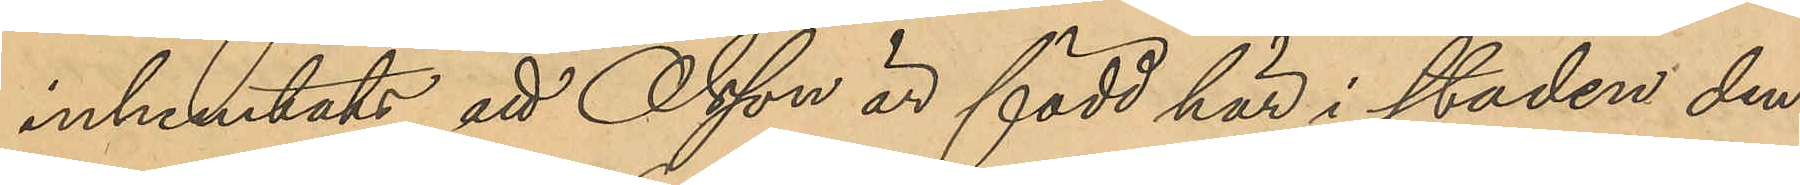inhemtats att Olsson är född här i staden den
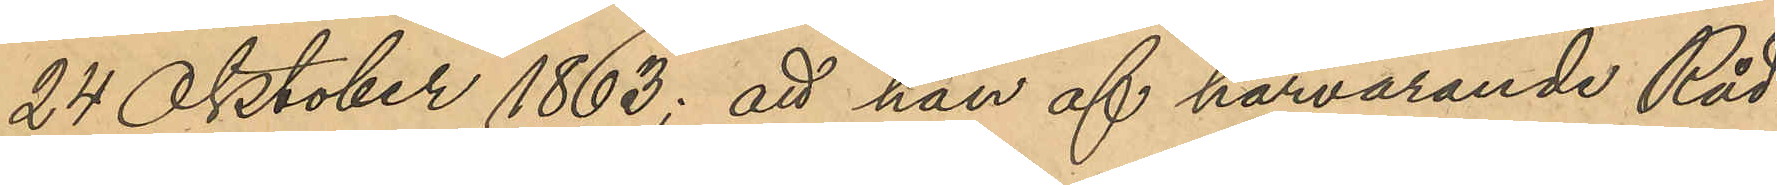24 Oktober 1863; att han af härvarande Råd¬
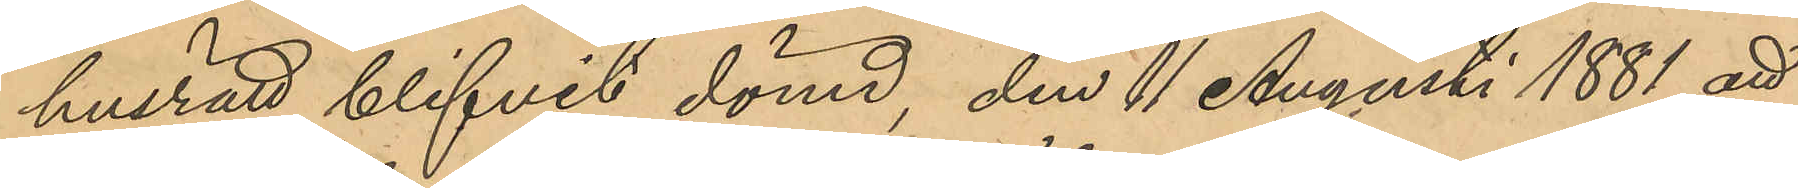husrätt blifvit dömd, den 11 Augusti 1881 att
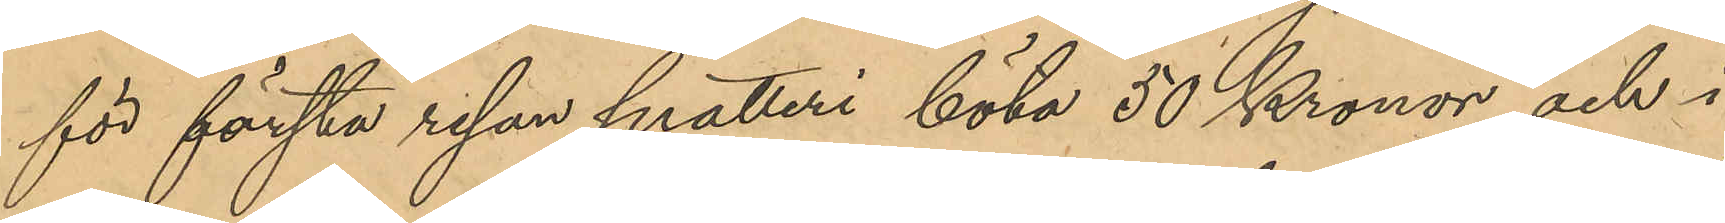för första resan snatteri böta 50 Kronor, och i
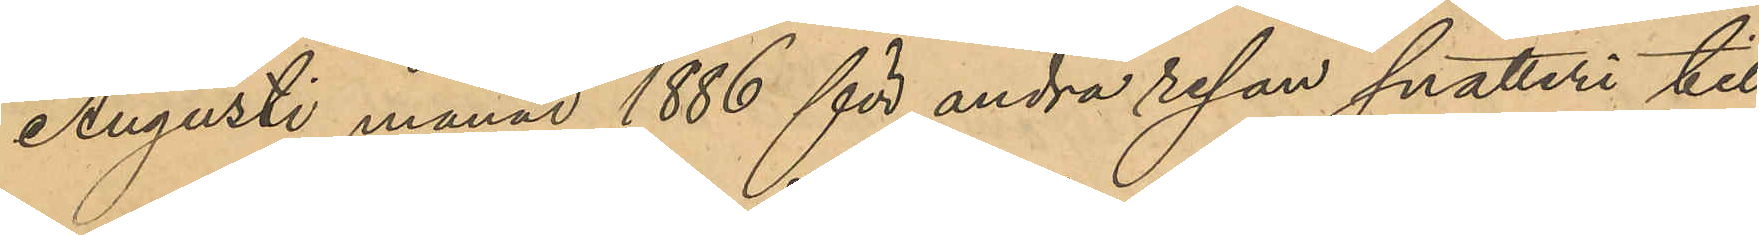Augusti månad 1886 för andra resan snatteri till
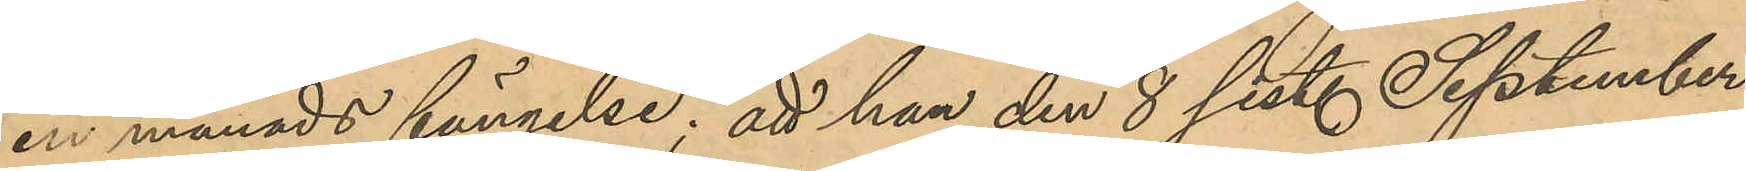en månads fängelse; att han den 8 sist. September
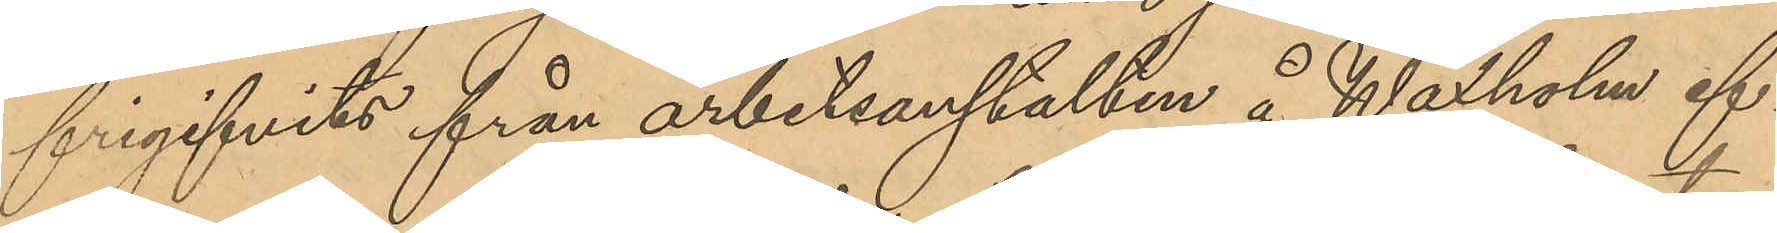frigifvits från arbetsanstalten å Waxholm ef¬
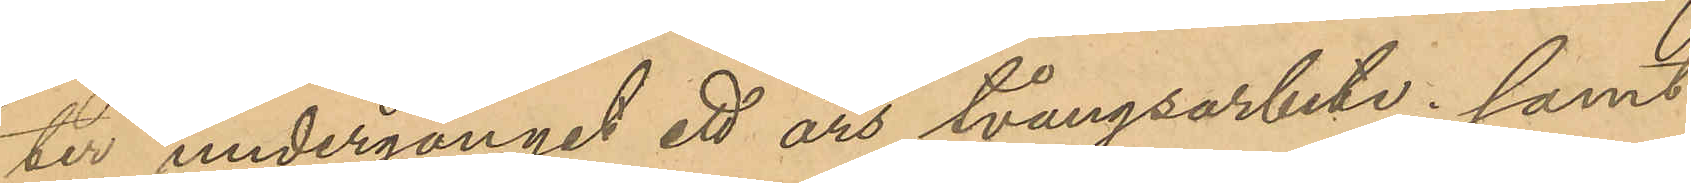ter undergånget ett års tvångsarbete; samt
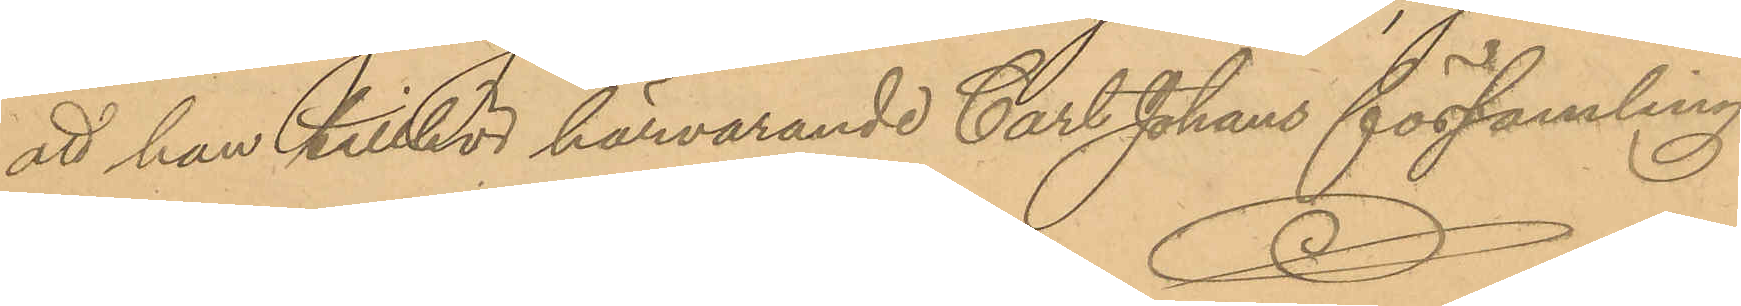att han tillhör härvarande Carl Johans församling
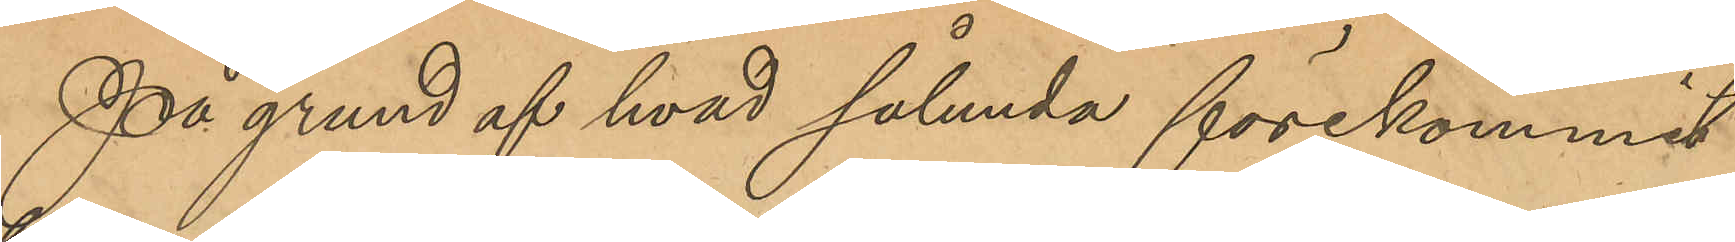På grund af hvad sålunda förekommit
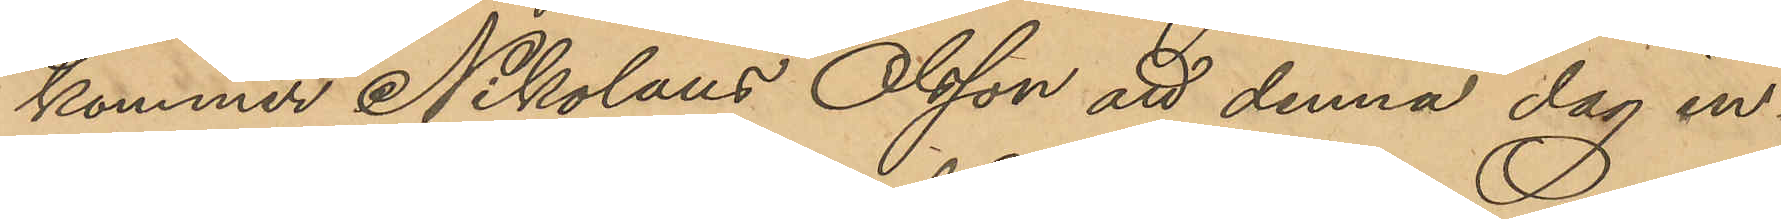kommer Nikolaus Olsson att denna dag in¬
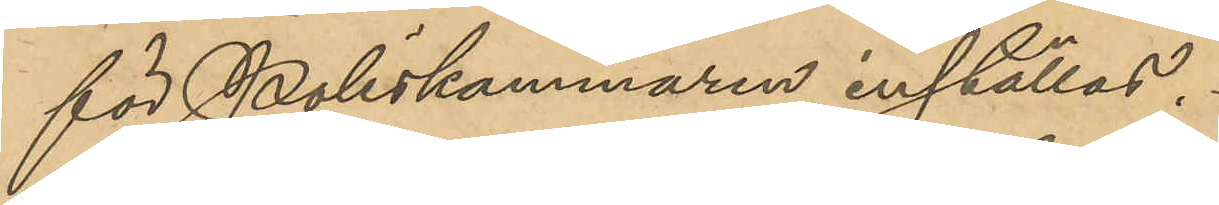för Poliskammaren inställas.
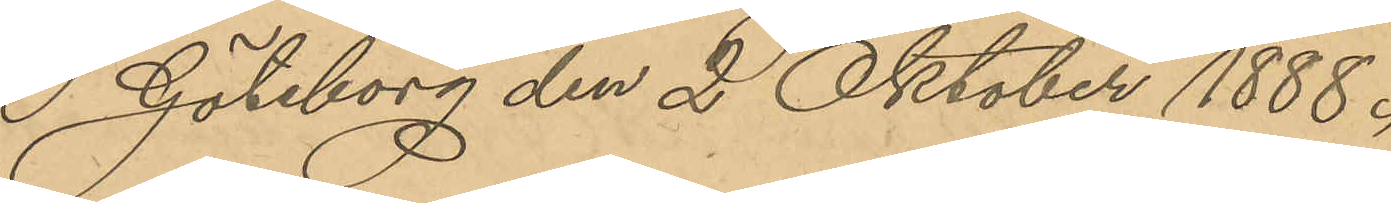Göteborg den 2 Oktober 1888.
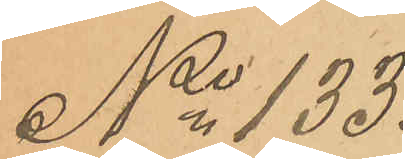No 133.
